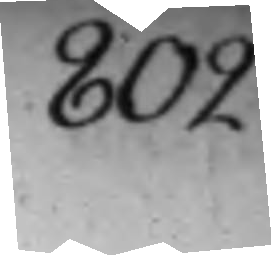802.
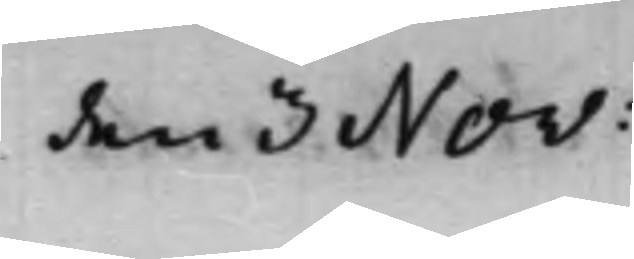den 3 Nov:
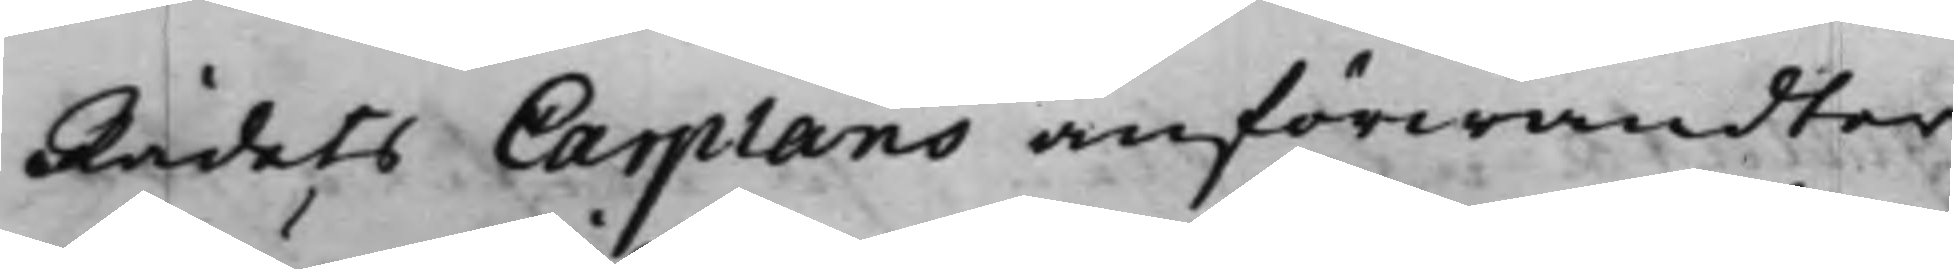Rådets Carplans anförwandter
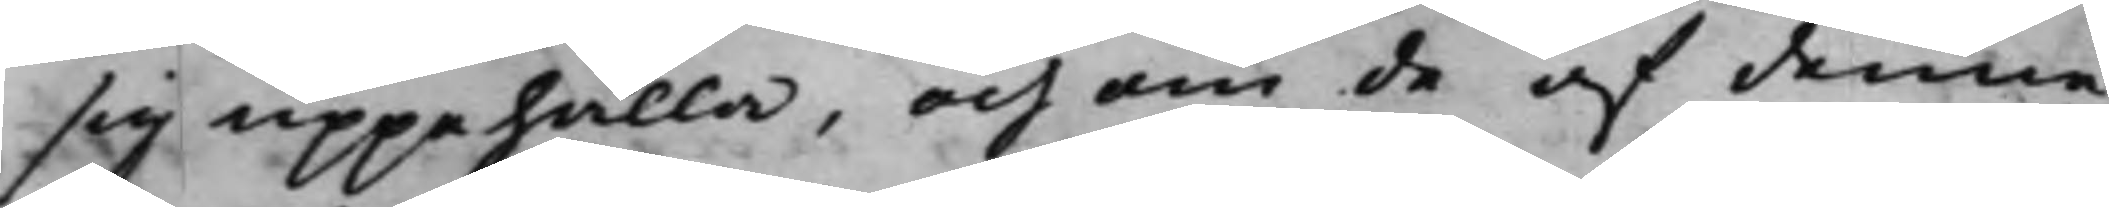sig uppehålla, och om de af denne
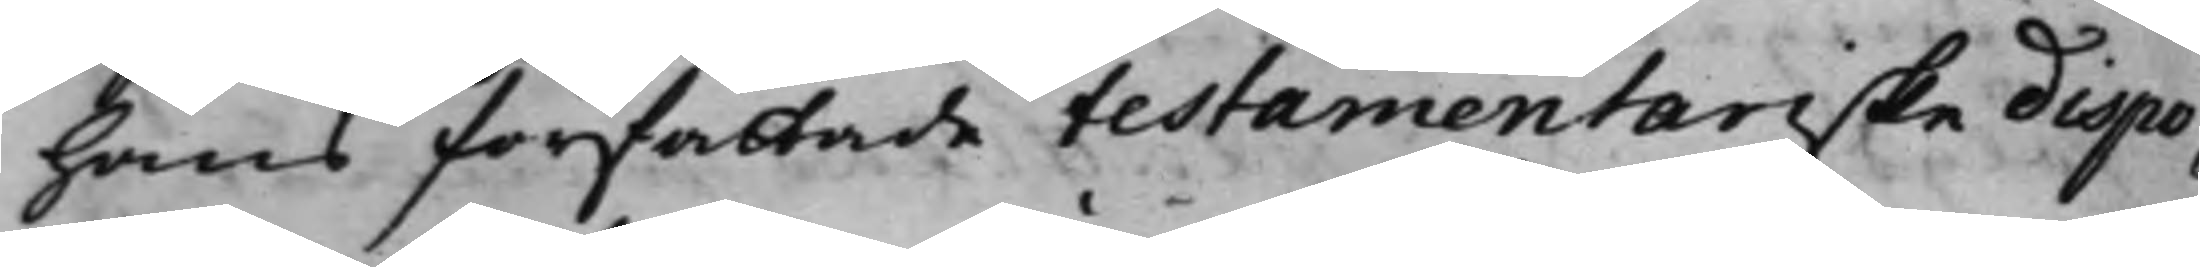hans författade testamentariske dispo¬
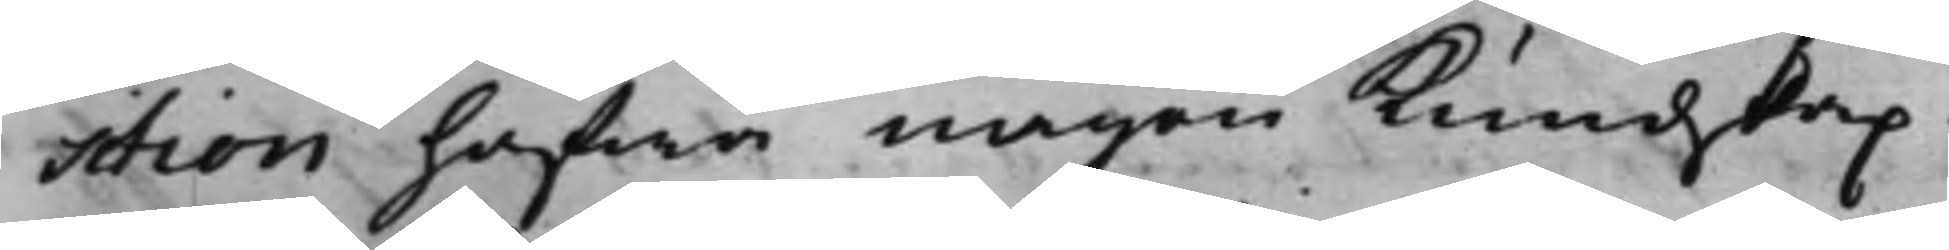sition hafwa någon Kundskap.
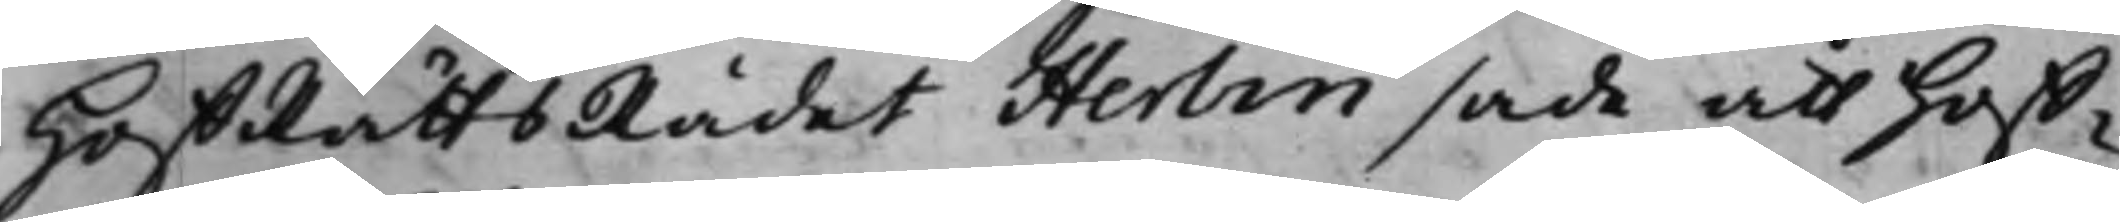HoffRåttsRådet Herlin sade att Hoff¬
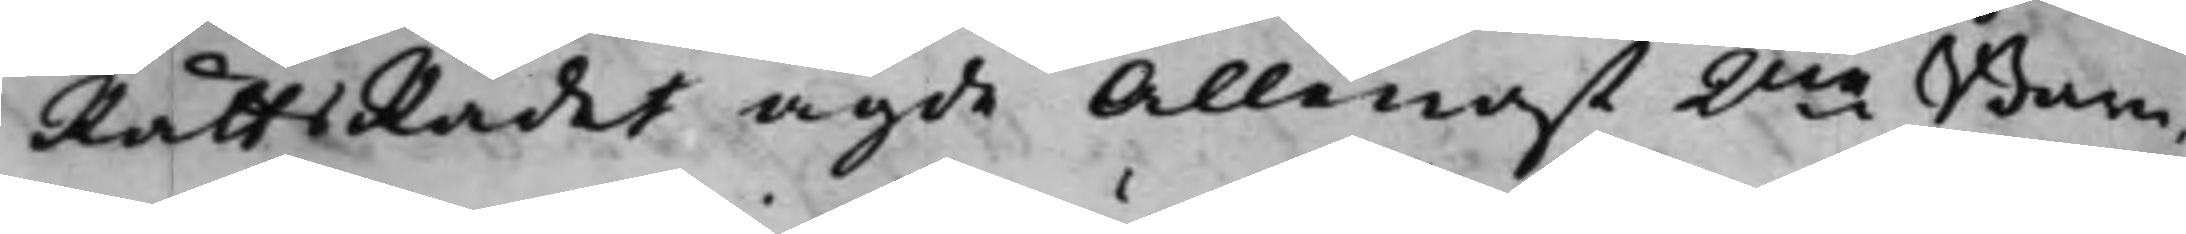RättsRådet ägde Allenast 2ne Barn,
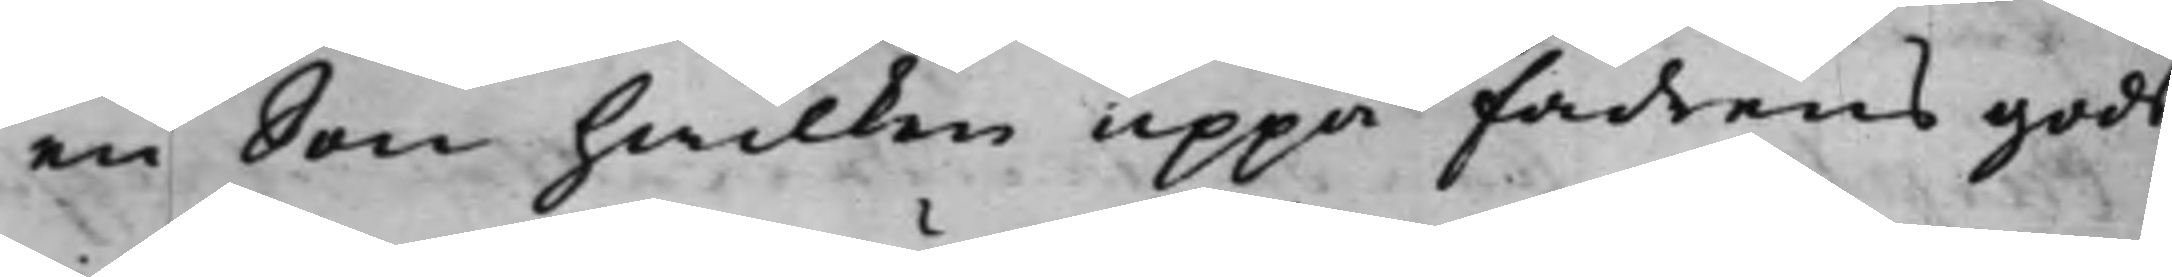en Son hwilken uppå Fadrens gods
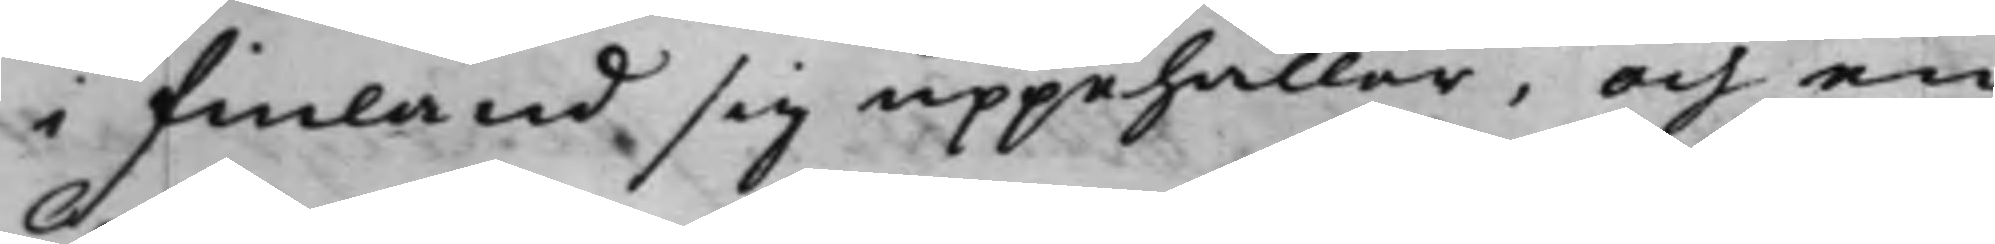i Finland sig uppehåller, och en
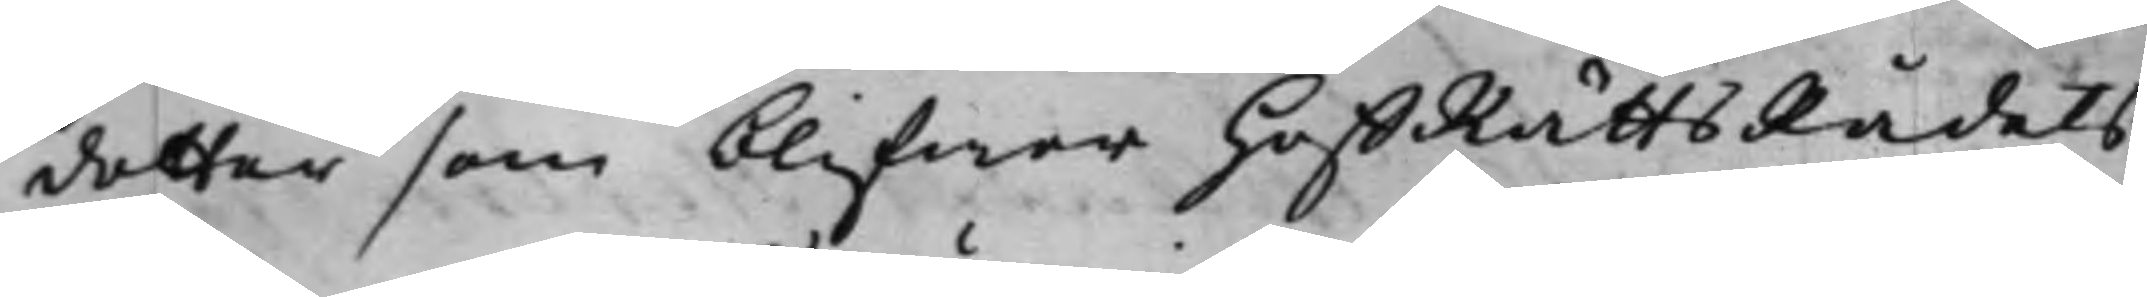dotter som blifwer HoffRättsRådets
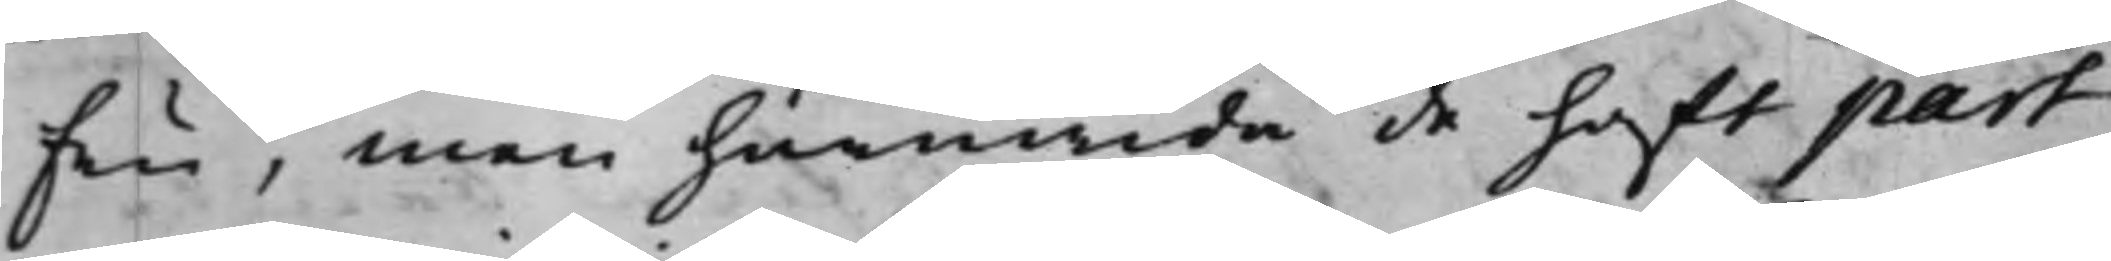Fru, men huruwida de haft part
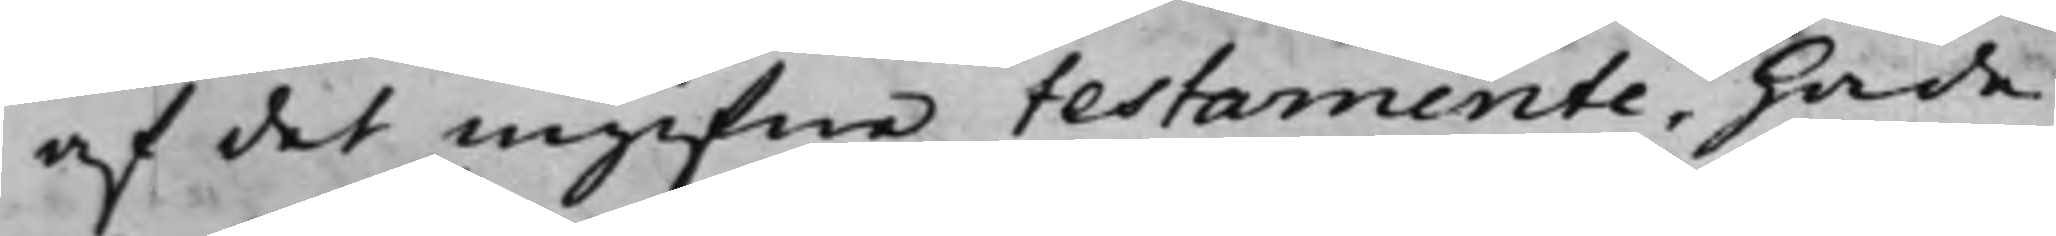af det ingifne testamente, hade
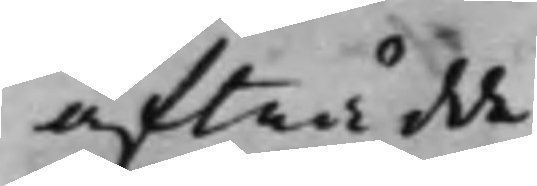afträdde.
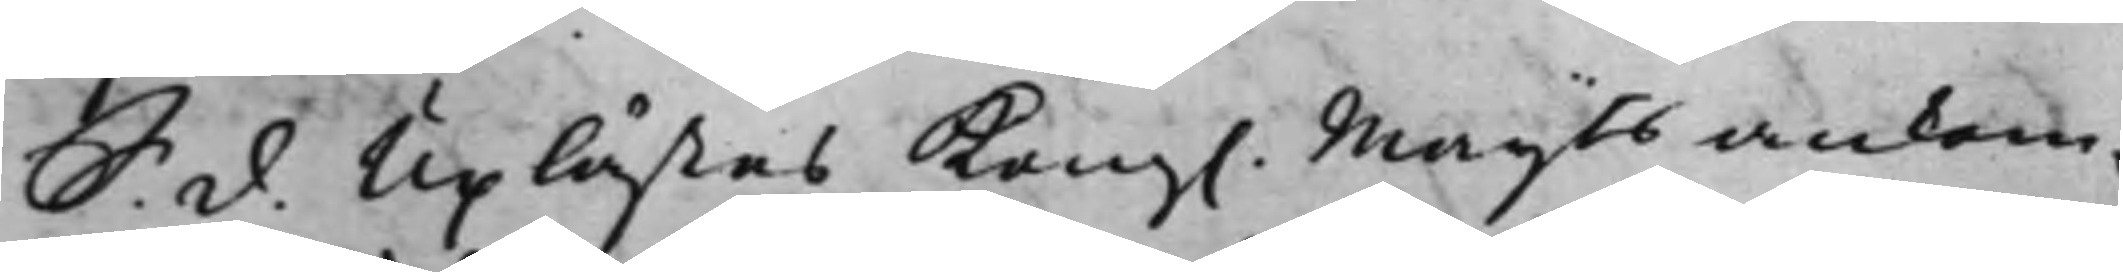S. d. Uplästes Kong. Maijts ankom-
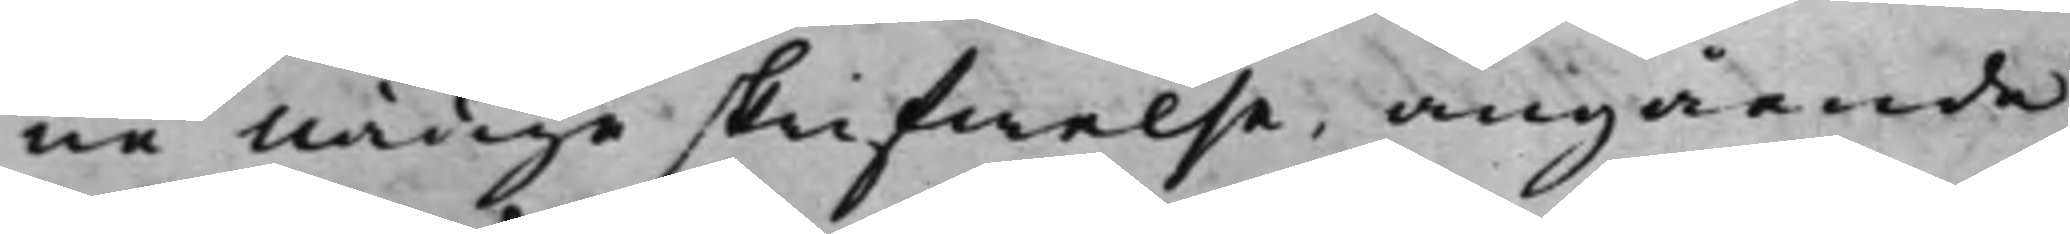ne nådige skrifwelse, angående
